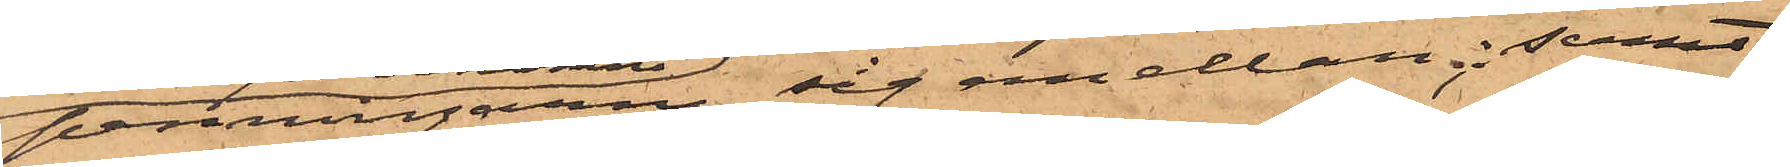penningarne sig emellan; samt
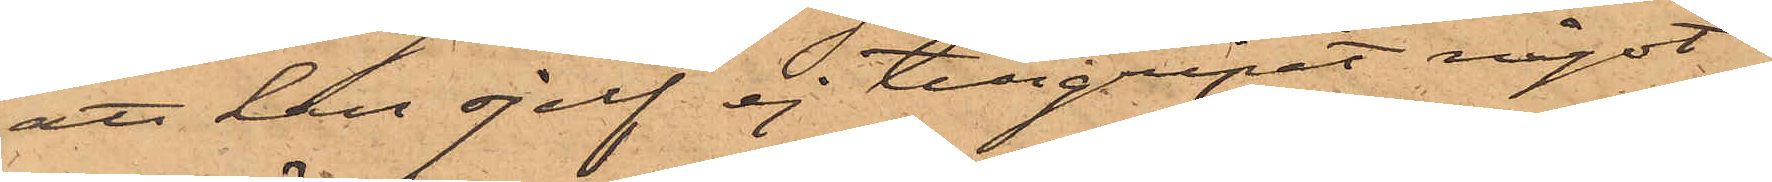att han sjelf ej tillgripit något
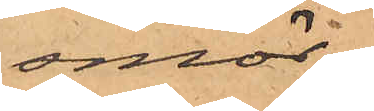smör.
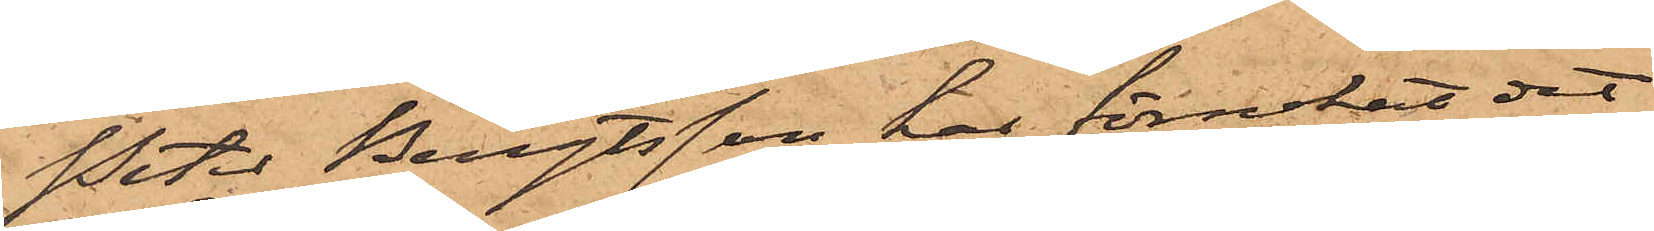Peter Bengtsson har förnekat det
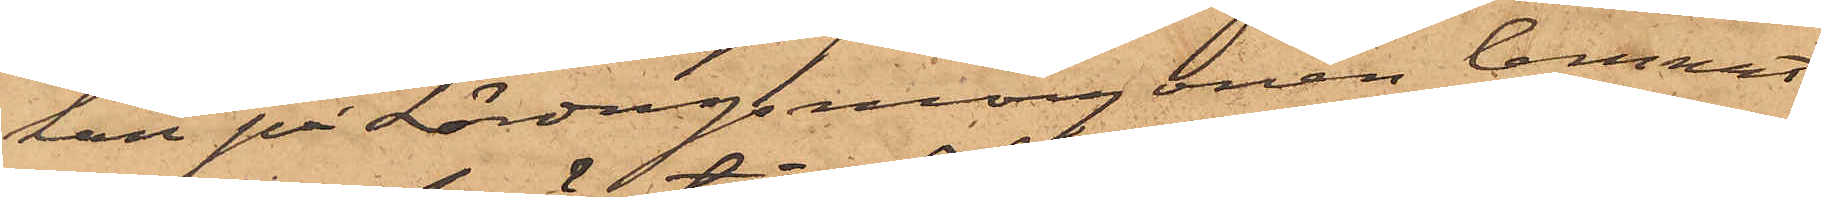han på Lördagsmorgonen lemnat
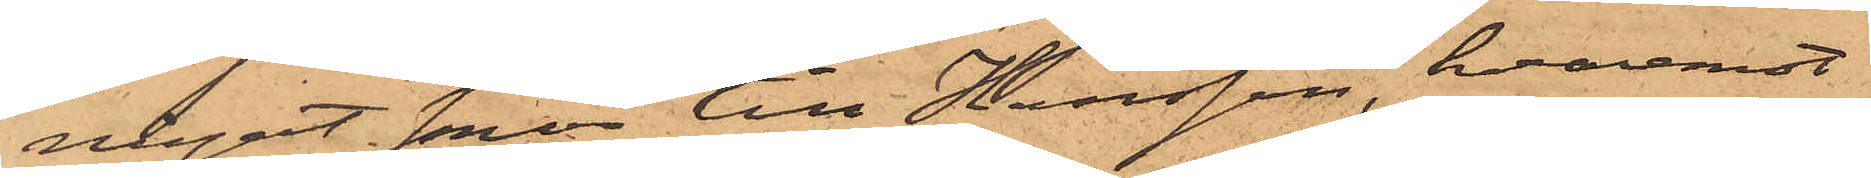något smör till Hansson, hvaremot
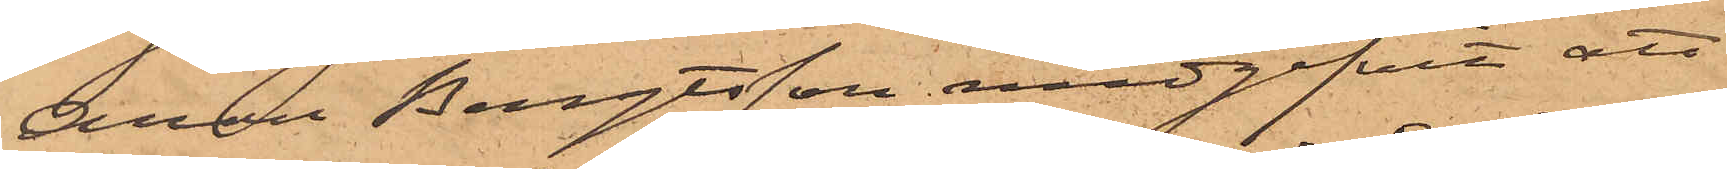Aron Bengtsson medgifvit att
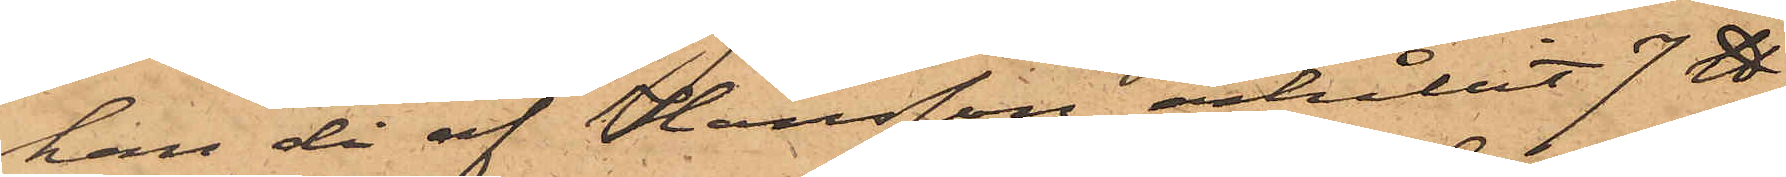han då af Hansson erhållit 7 ℔
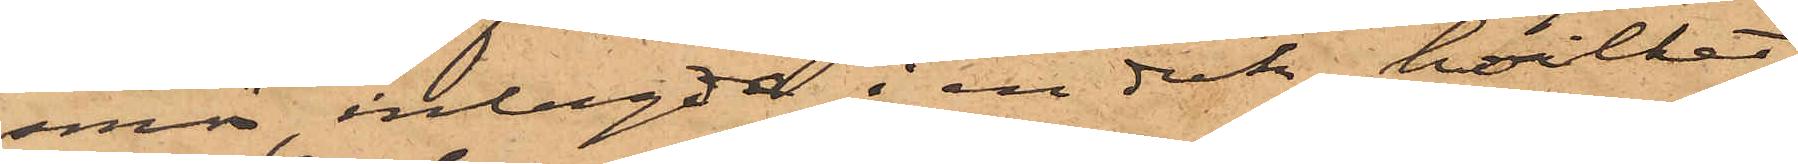smör, inlagda i en duk, hvilket
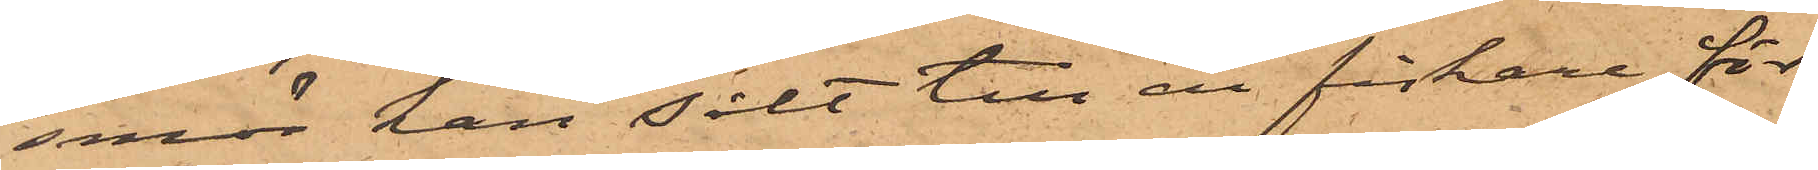smör han sålt till en fiskare för
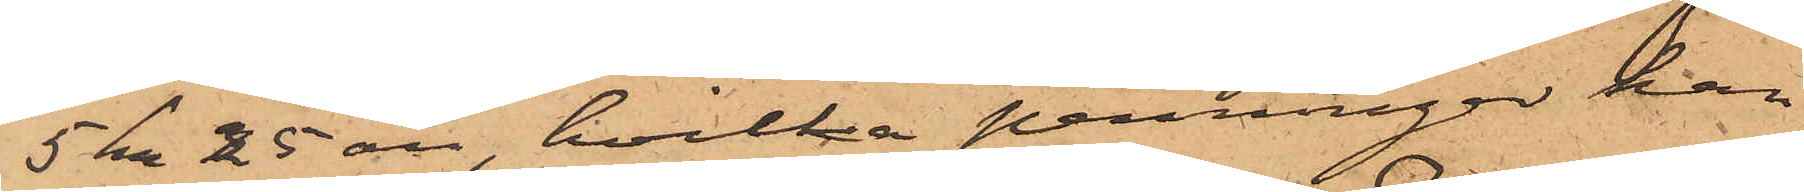5 kr 25 öre, hvilka penningar han,
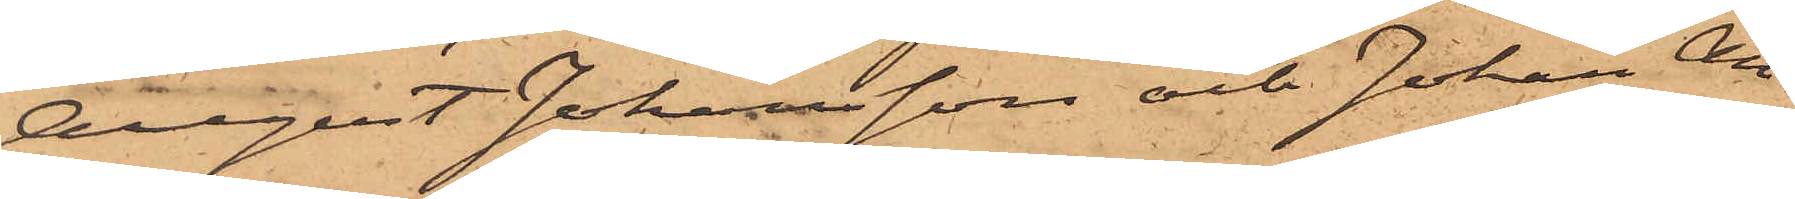August Johansson och Johan An¬
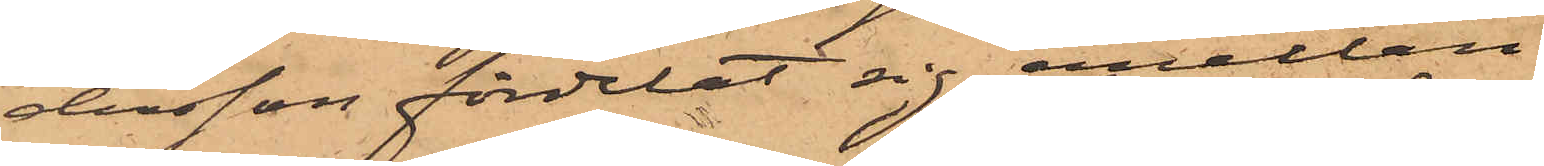dersson fördelat sig emellan.
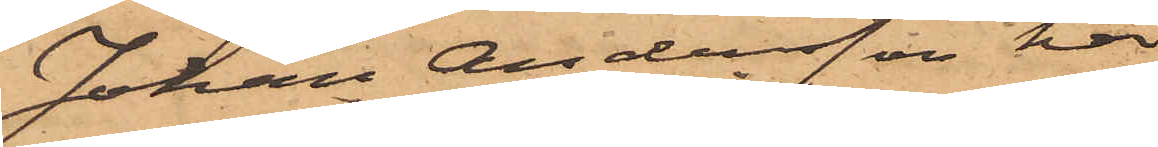Johan Andersson har
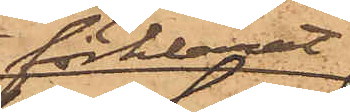förklarat
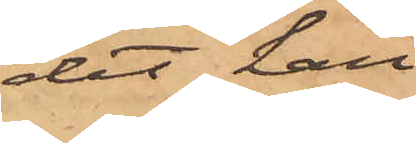det han
